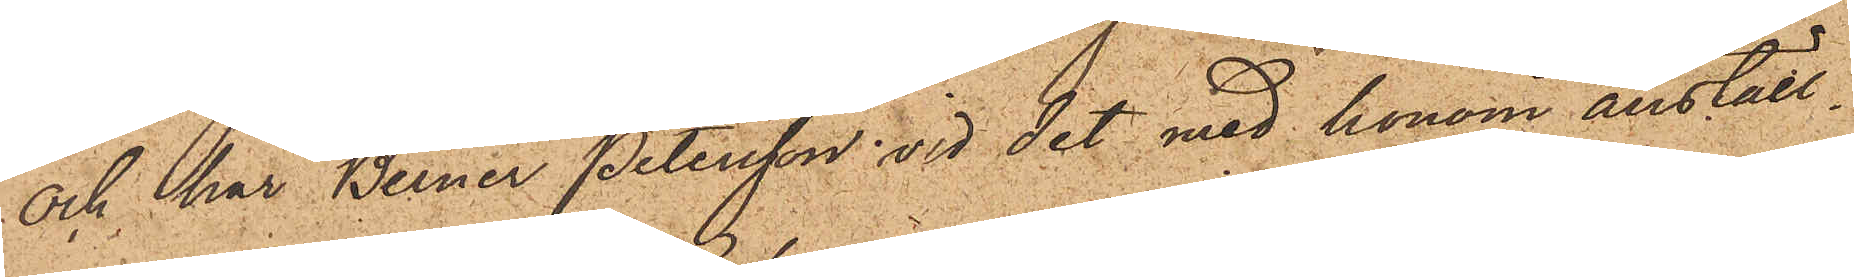och har Berner Petersson vid det med honom anställ¬
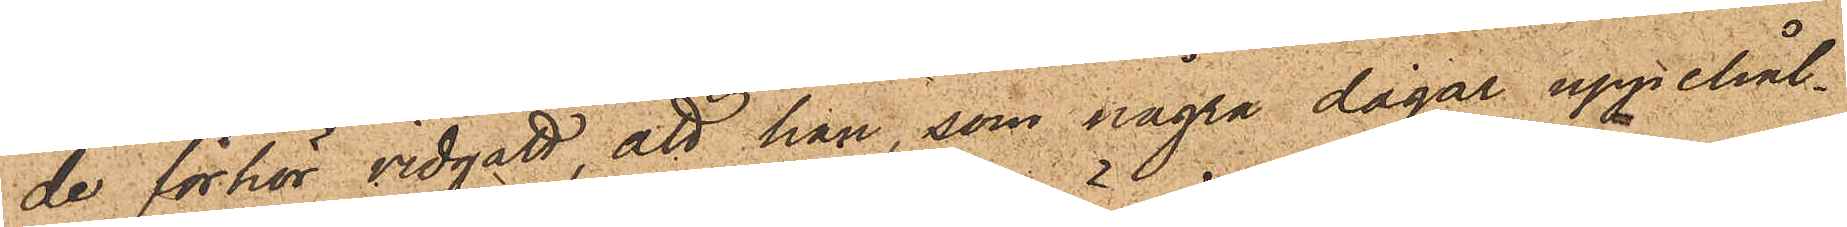de förhör vidgått att han, som några dagar uppehål¬
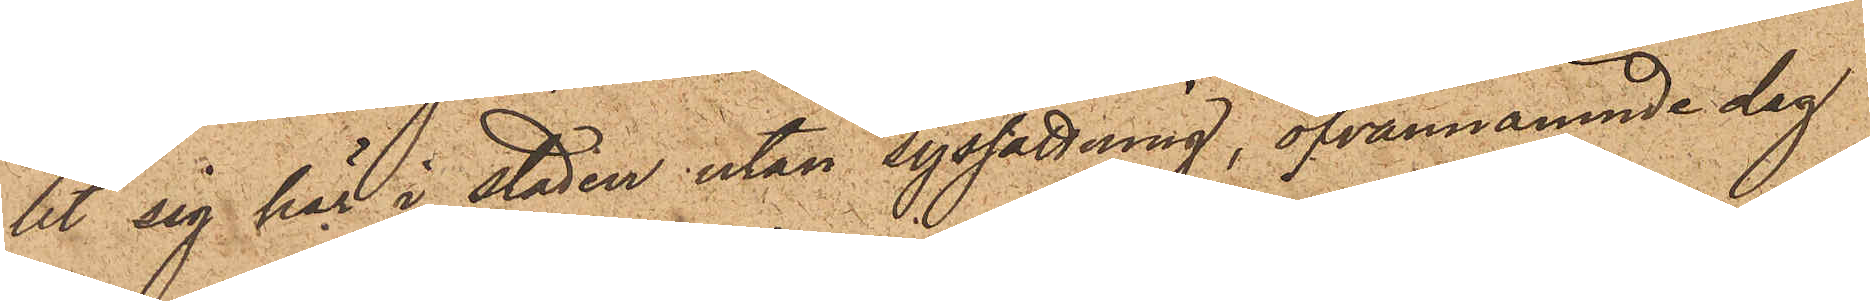lit sig här i staden utan syssättning, ofvannämnde dag
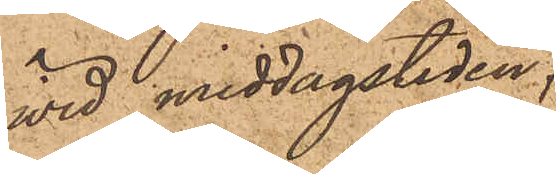vid middagstiden;
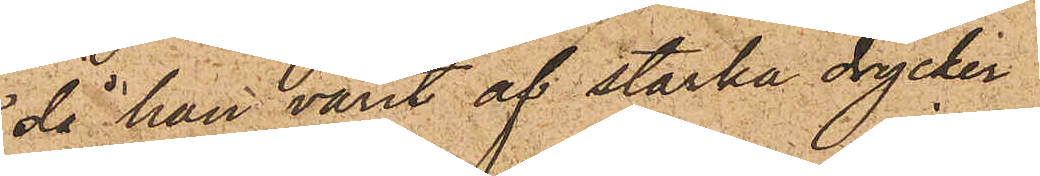då han varit af starka drycker
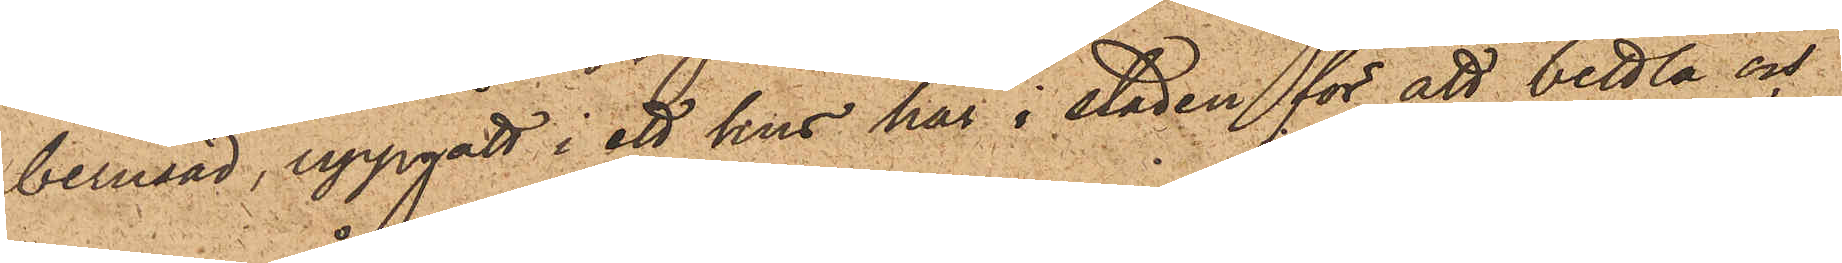berusad, uppgått i ett hus här i staden för att bettla och
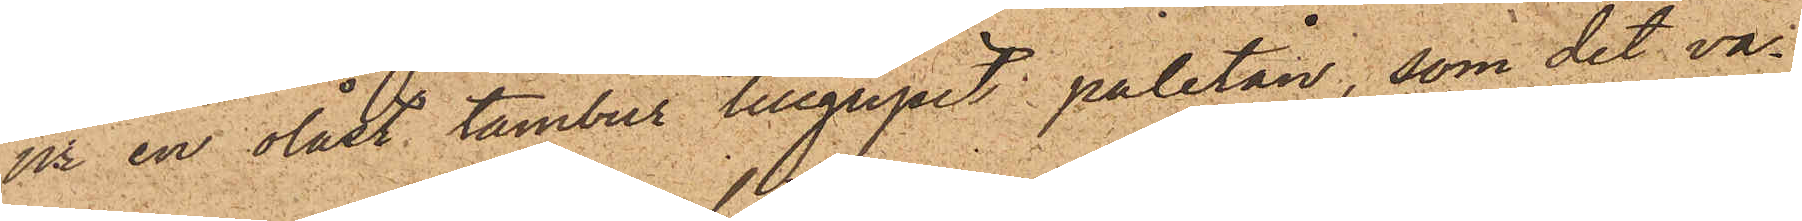ur en olåst tambur tillgripit paletån, som det va¬
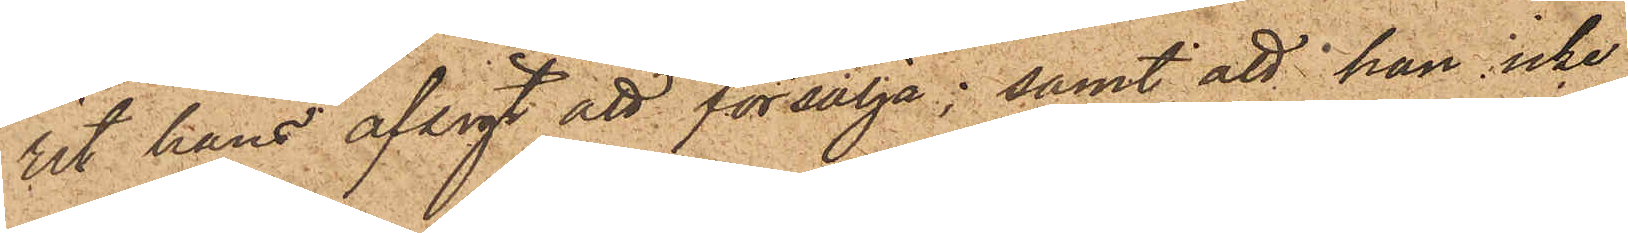rit hans afsigt att försälja; samt att han icke
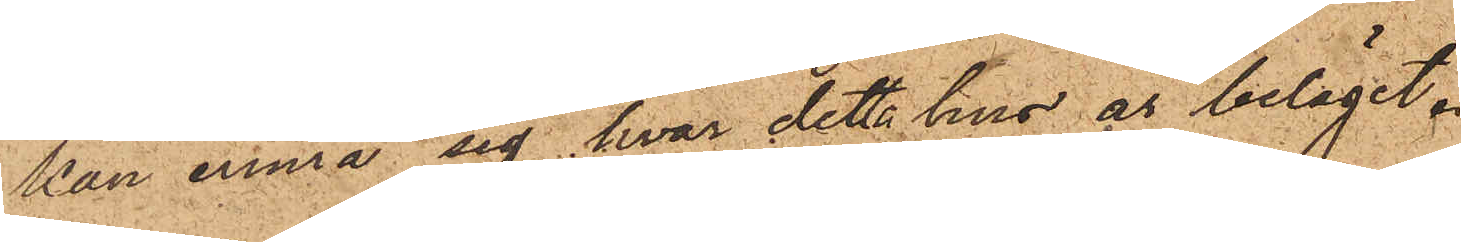kan erinra sig hvar detta hus är beläget.
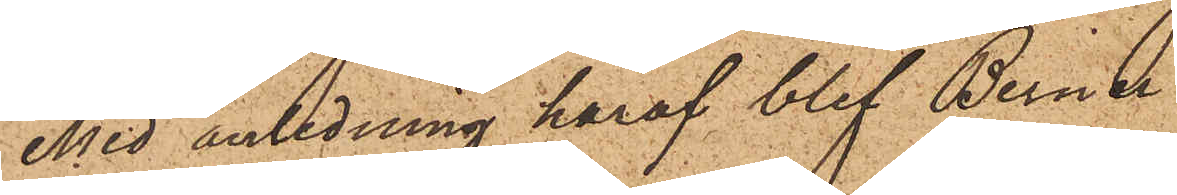Med anledning häraf blef Berner
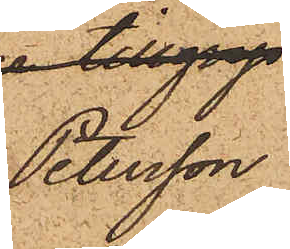Petersson
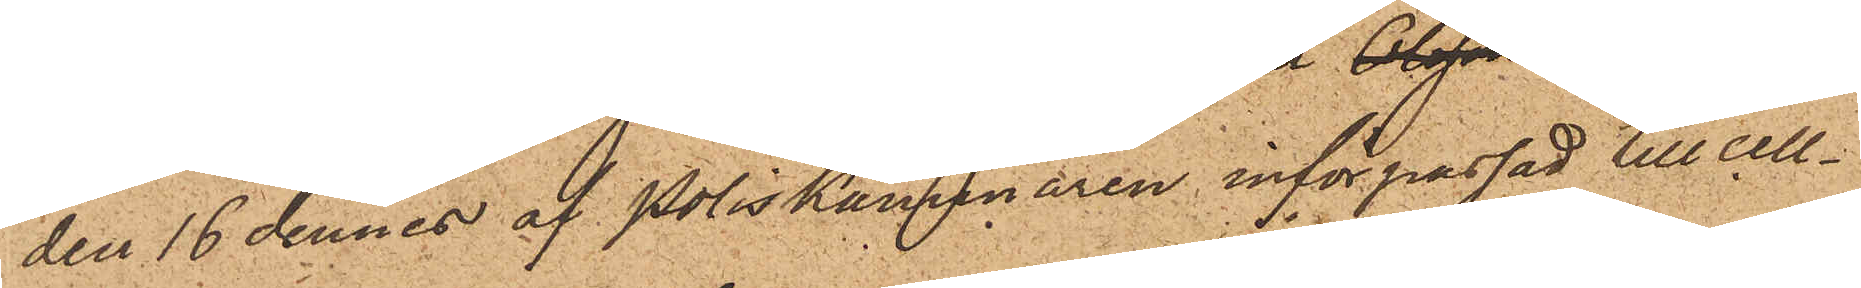den 16 dennes af Poliskammaren införpassad till cell¬
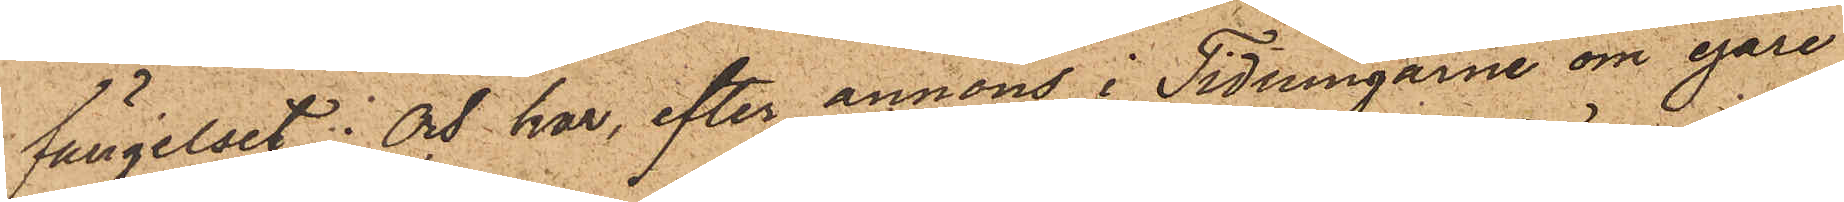fängelset; och har, efter annons i Tidningarne om egare
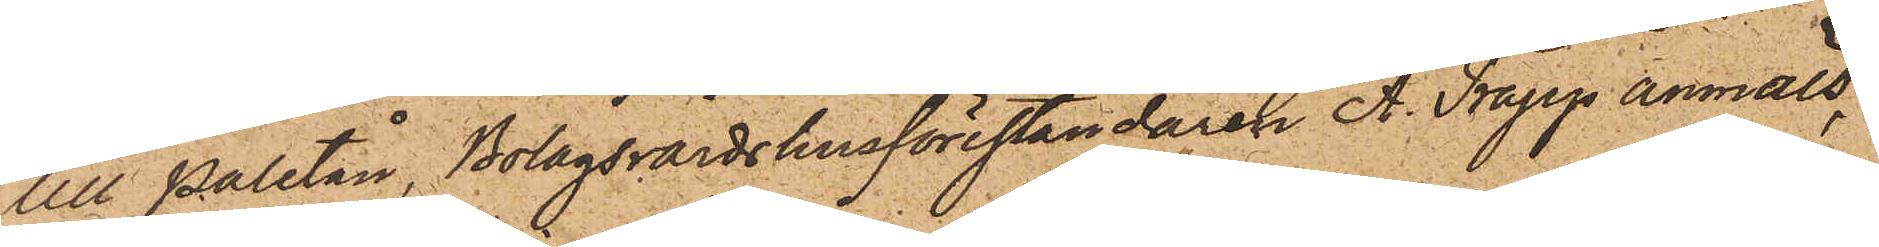till Paletån, Bolagsvärdshusföreståndaren A. Trapp anmält,
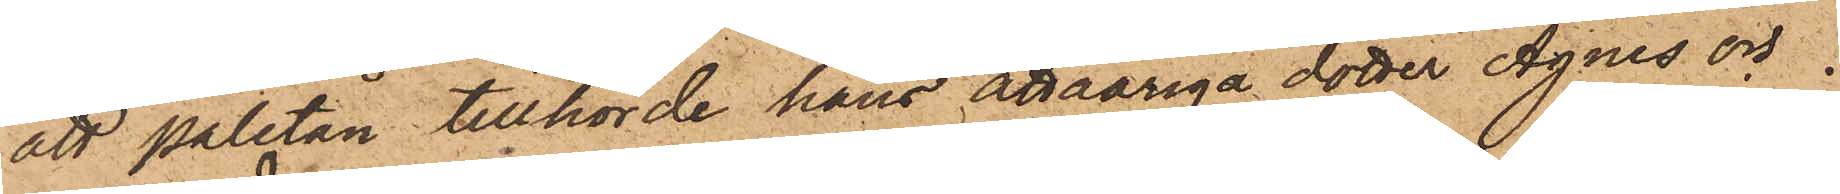att paletån tillhörde hans åttaåriga dotter Agnes och
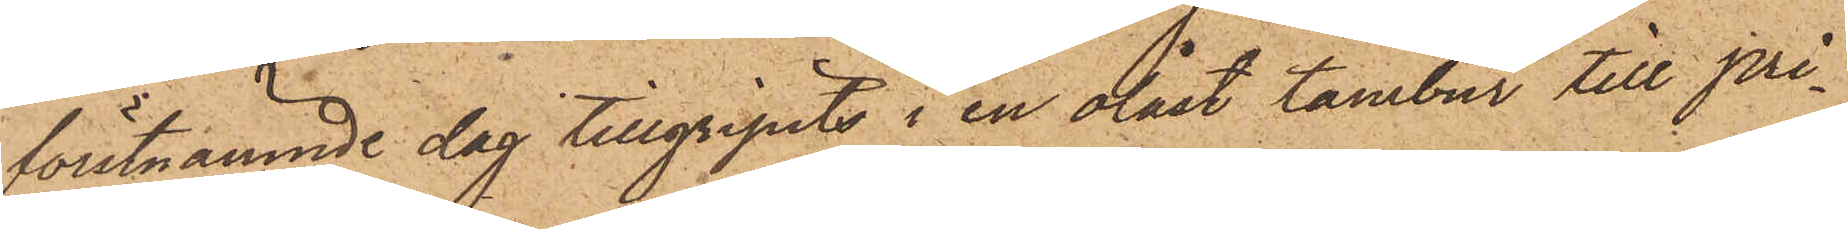förstnämnde dag tillgripits i en olåst tambur till pri¬
